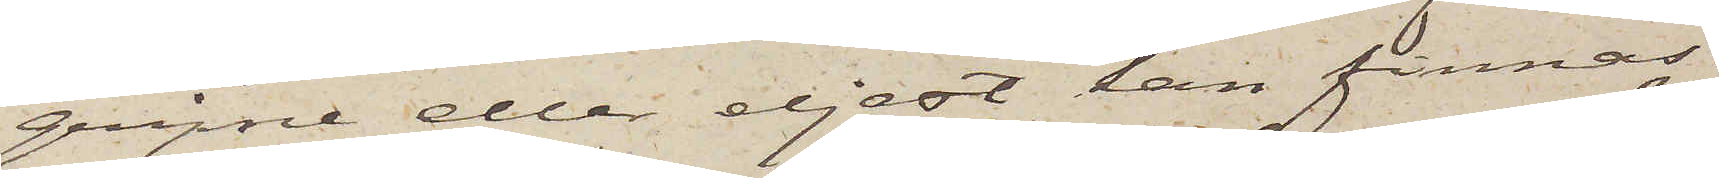gripne eller eljest kan finnas
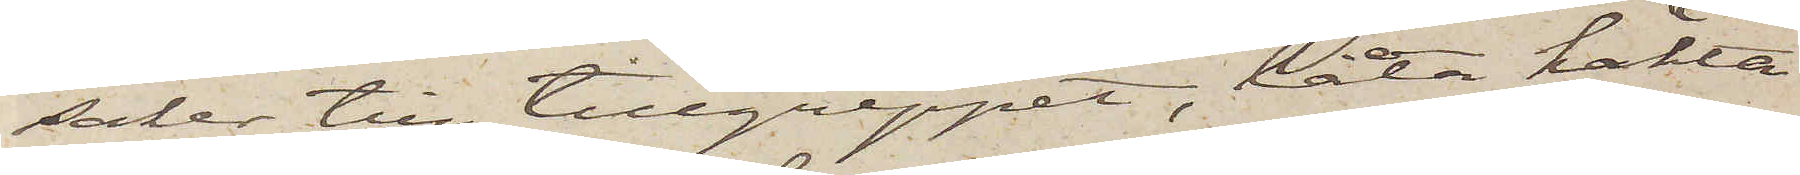saker till tillgreppet, låta häkta
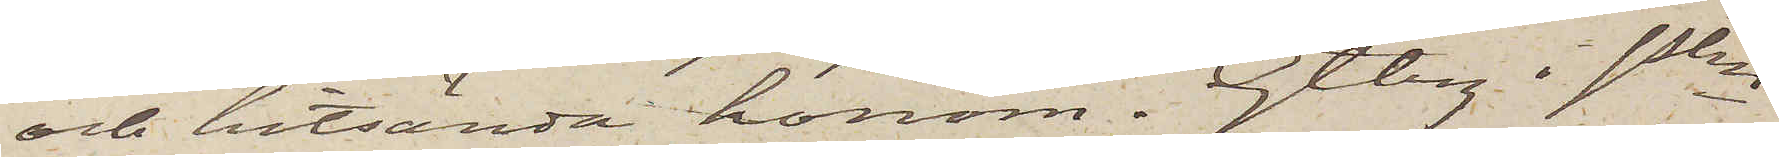och hitsända honom. Gtbrg i Pkn
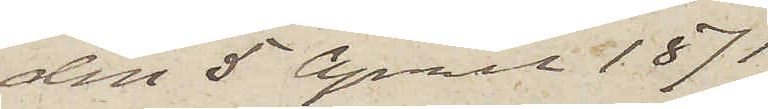den 5 April 1871
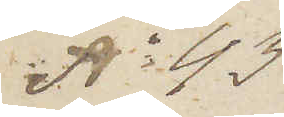No 43
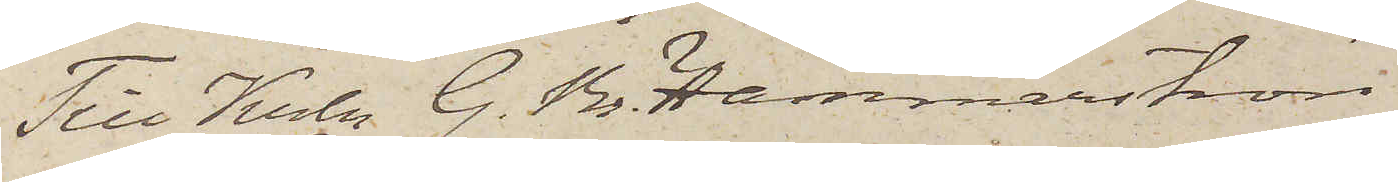Till Krln G. Br. Hammarström
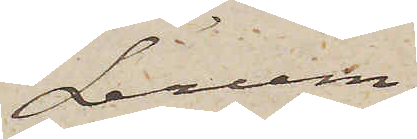Lerum.
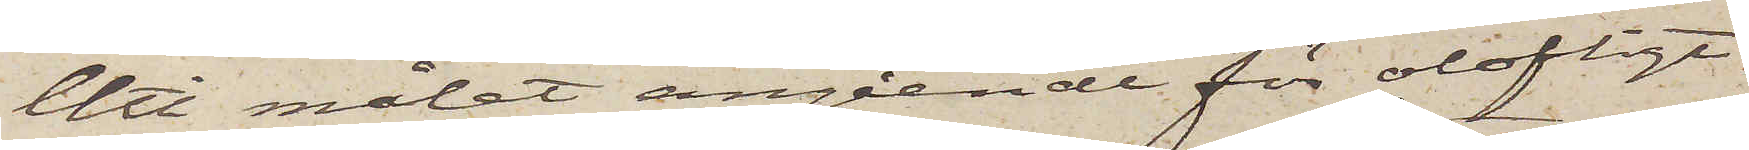Uti målet angående för olofligt
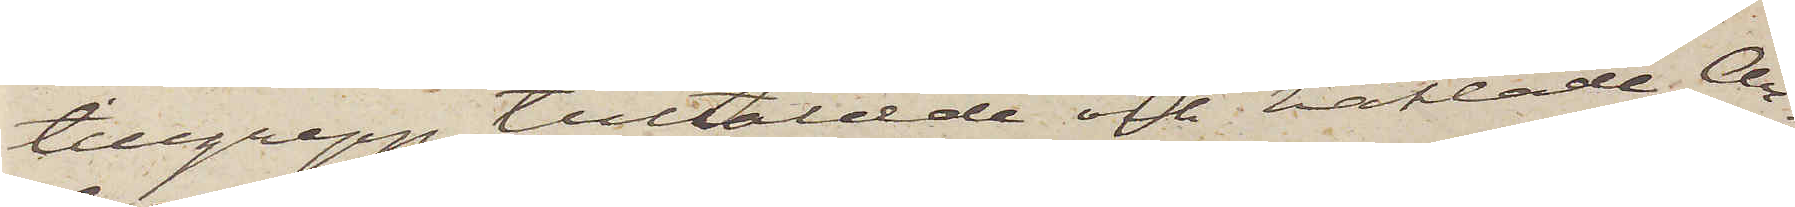tillgrepp tilltalade och häktade An¬
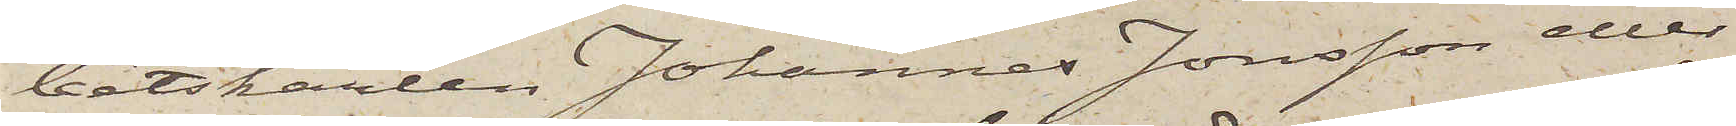betskarlen Johannes Jonsson eller
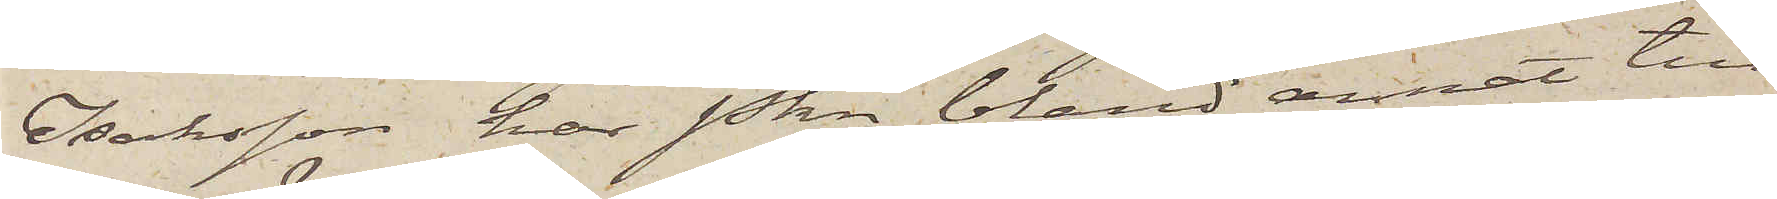Isaksson, har Pkn bland annat till
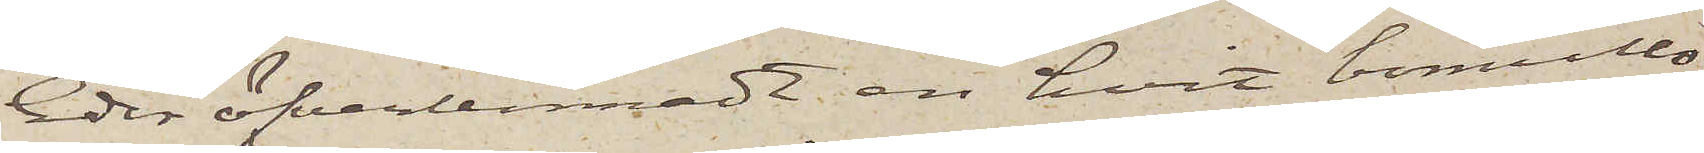Eder öfverlemnadt en hvit bomulls¬
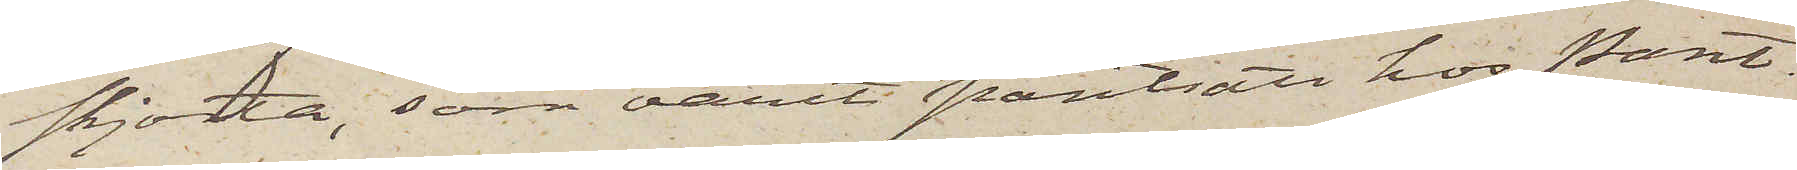skjorta, som varit pantsatt hos Pant¬
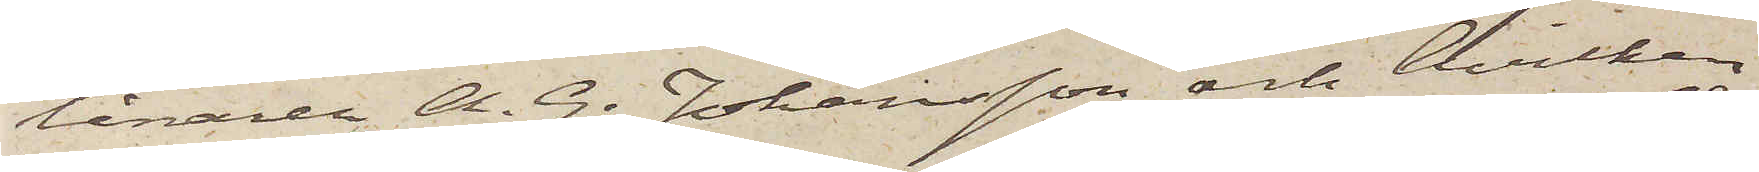lånaren A. G. Johansson och hvilken
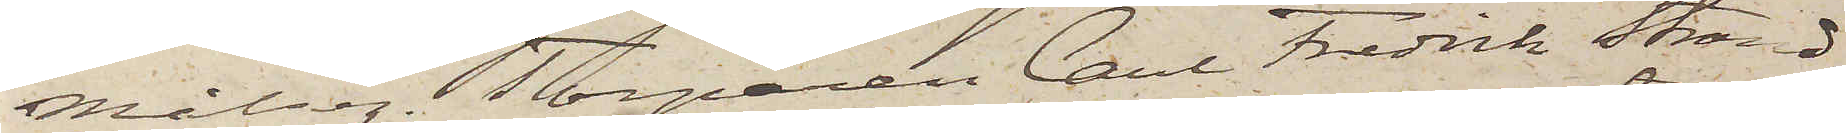Målseg. Torparen Carl Fredrik Strand¬
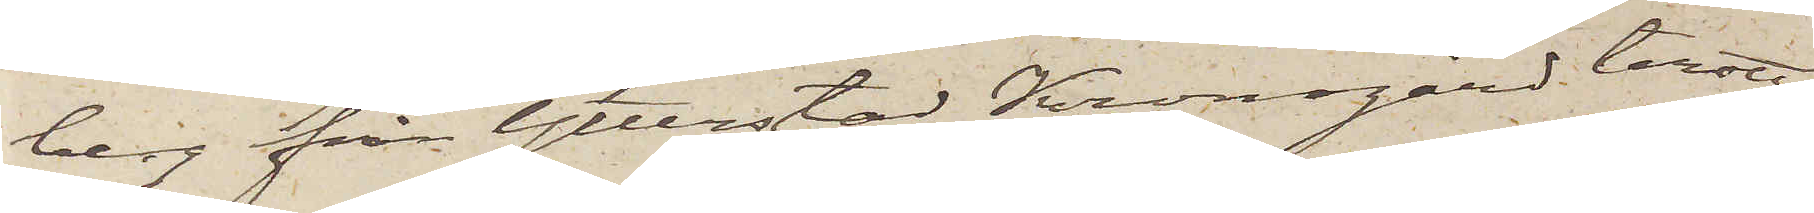berg från Ytterstad Kronogård trott
